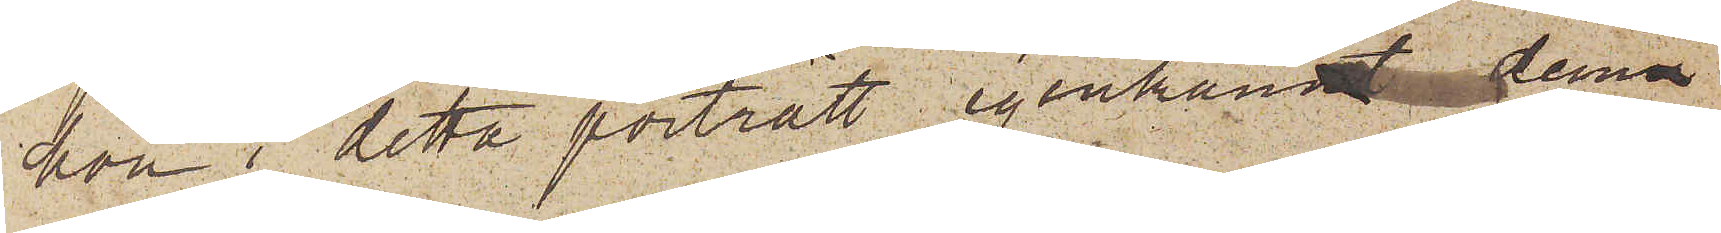hon i detta porträtt igenkändt denna
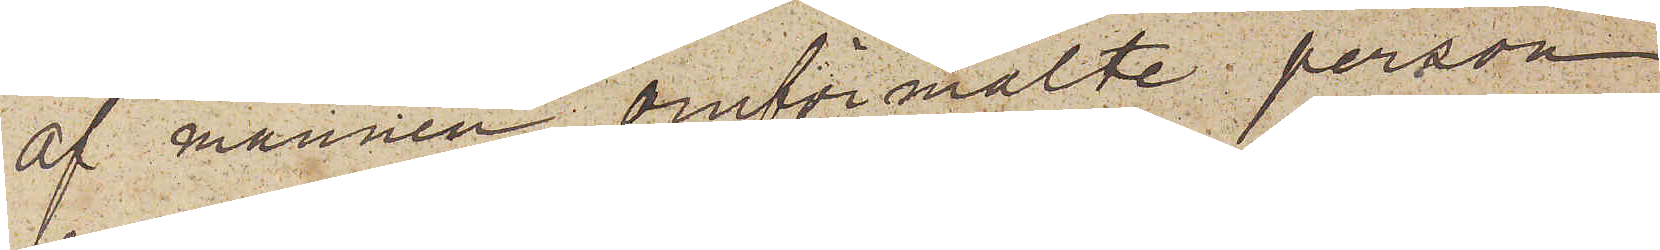af mannen omförmälte person,
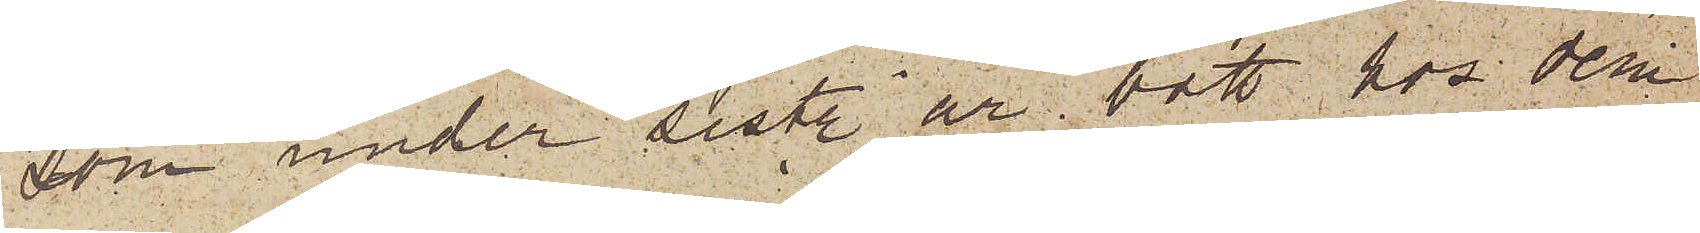som under sistl. år bott hos dem
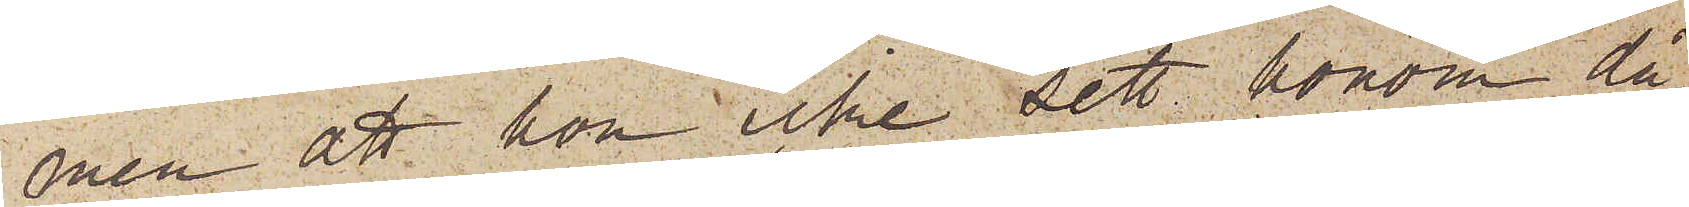men att hon icke sett honom då
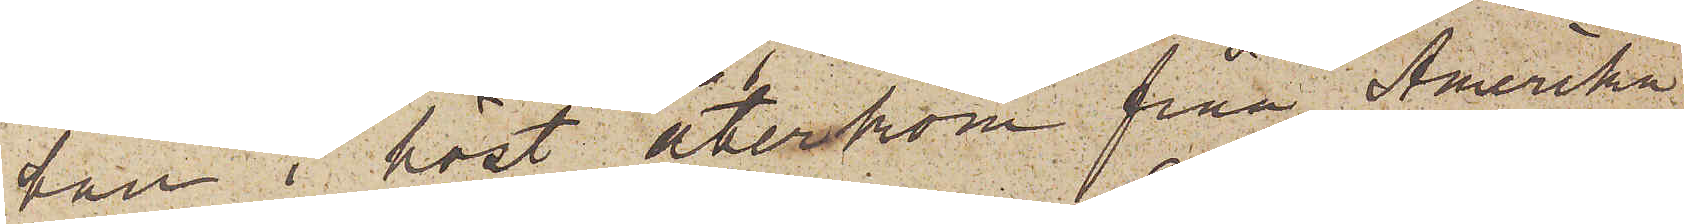han i höst återkom från Amerika.
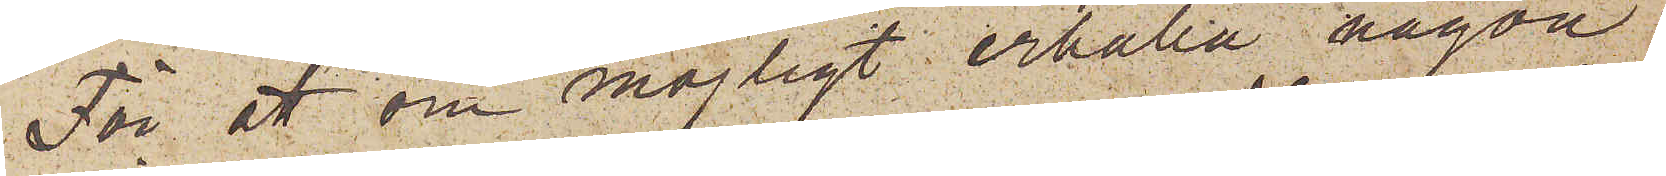För att om möjligt erhålla någon
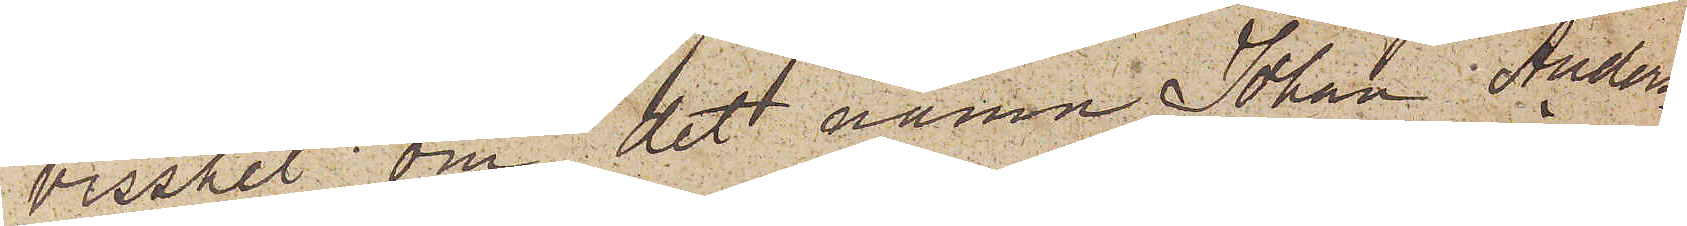visshet om det namn Johan Anders¬
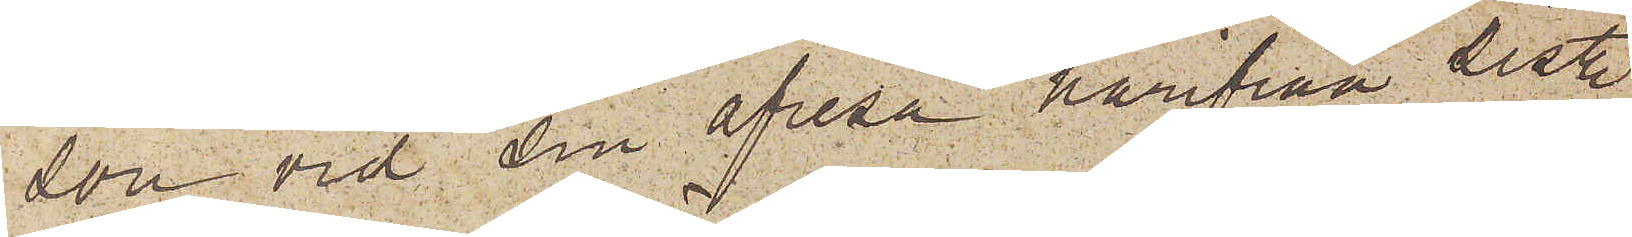son vid sin afresa härifrån sistl.
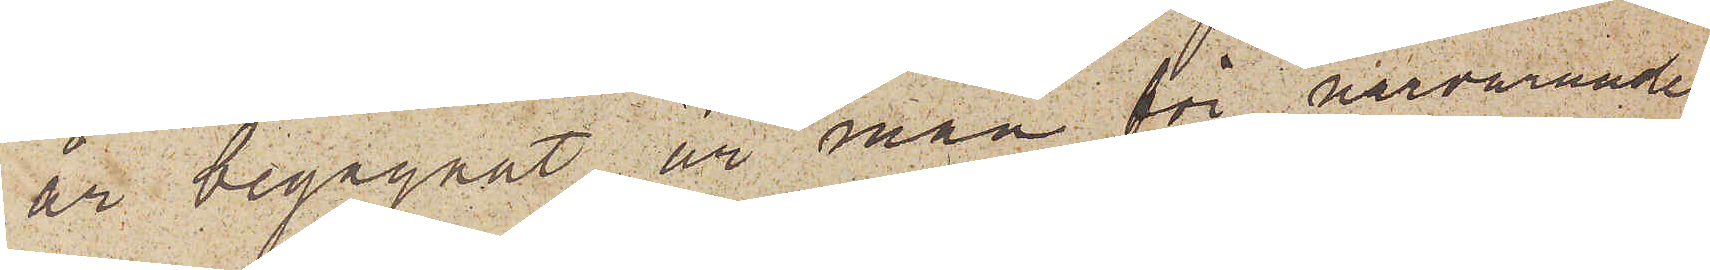år begagnat, är man för närvarande
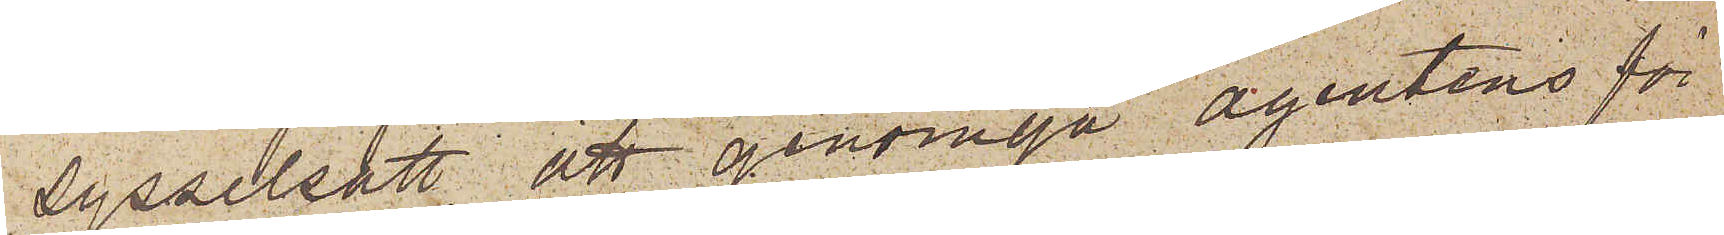sysselsatt att genomgå agentens för
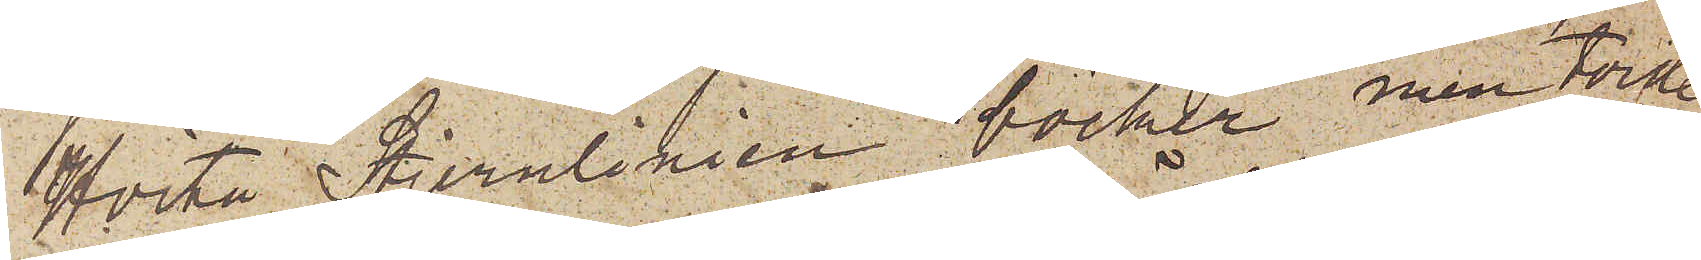Hvita Stjernliniens böcker men torde
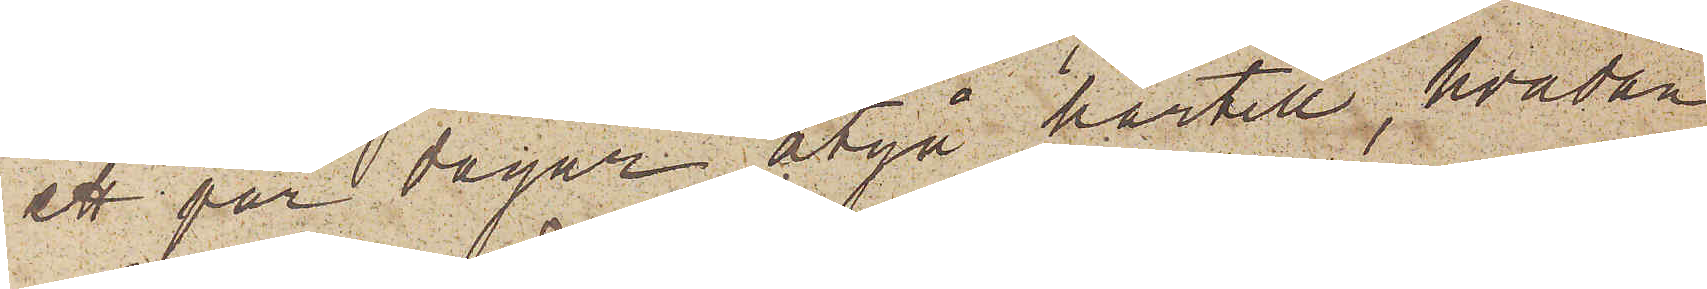ett par dagar åtgå härtill, hvadan
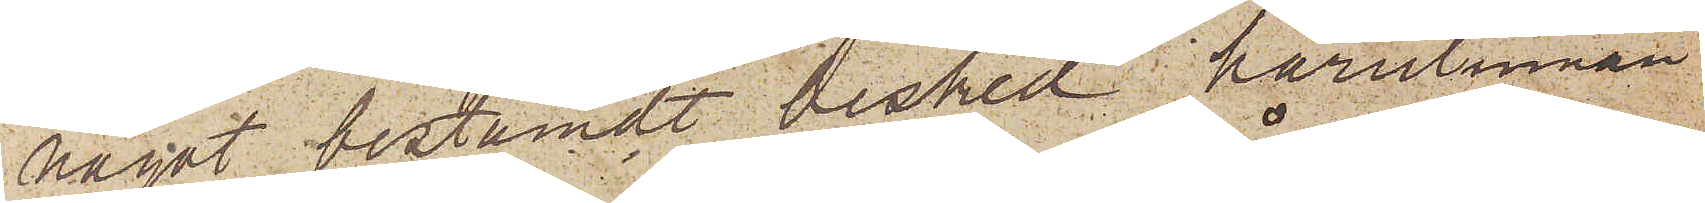något bestämdt besked härutinnan
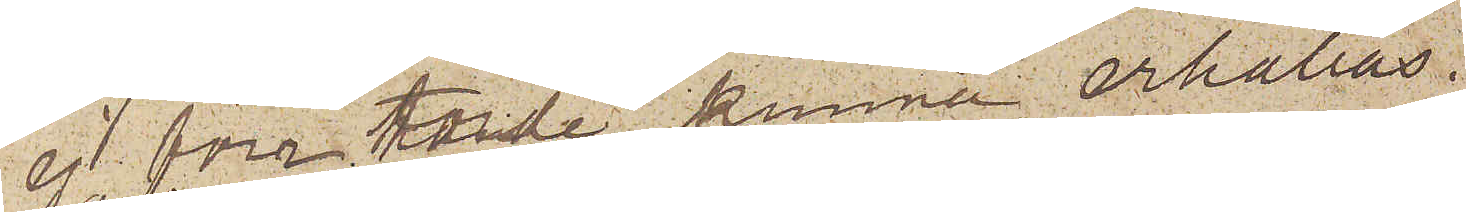ej förr torde kunna erhållas.
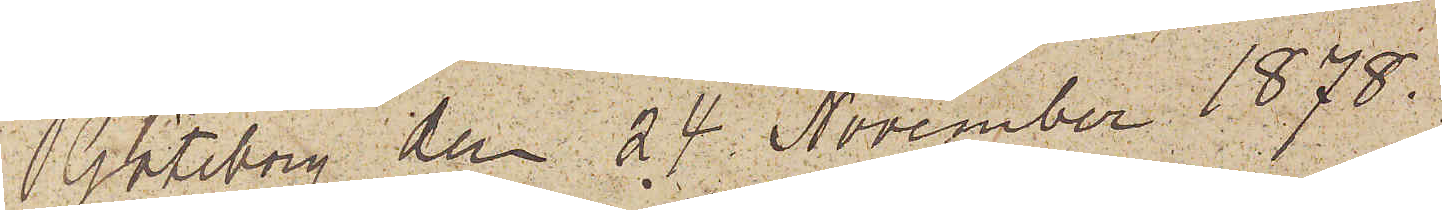Göteborg den 24 November 1878.
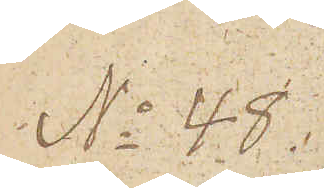No 48
